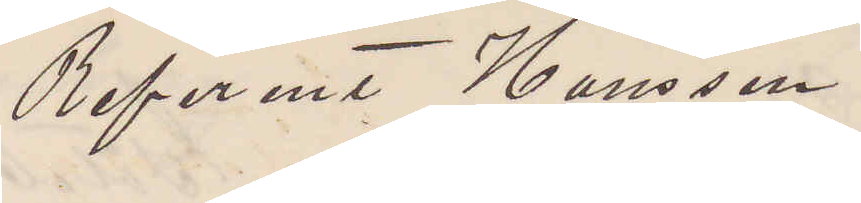Referent Hansson
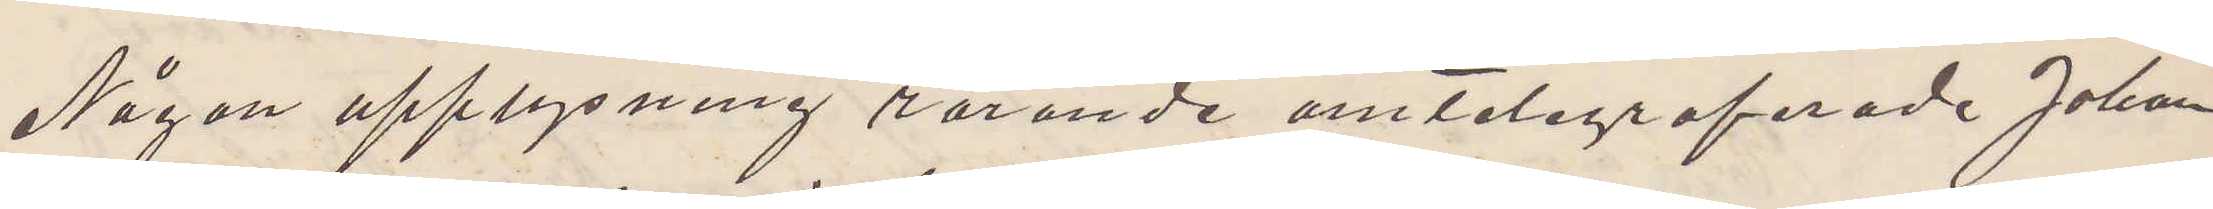Någon upplysning rörande omtelegraferade Johan
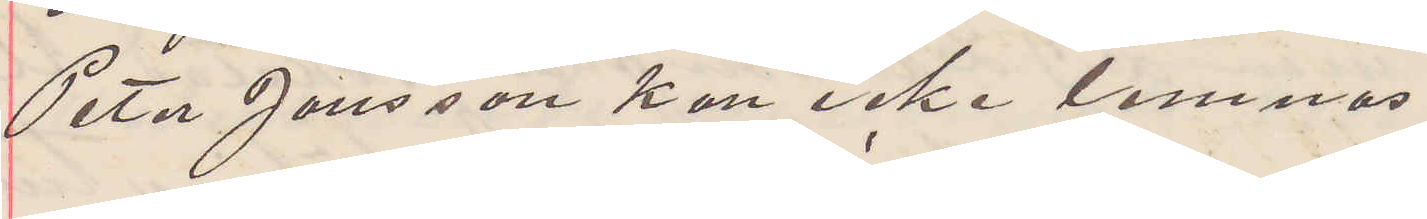Peter Jonsson kan icke lemnas.
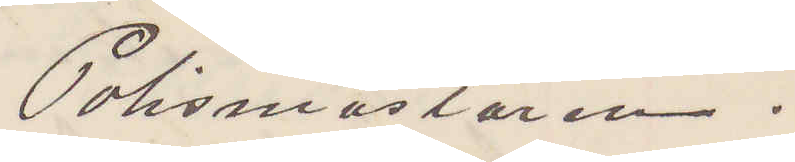Polismästaren.
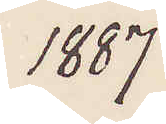1887
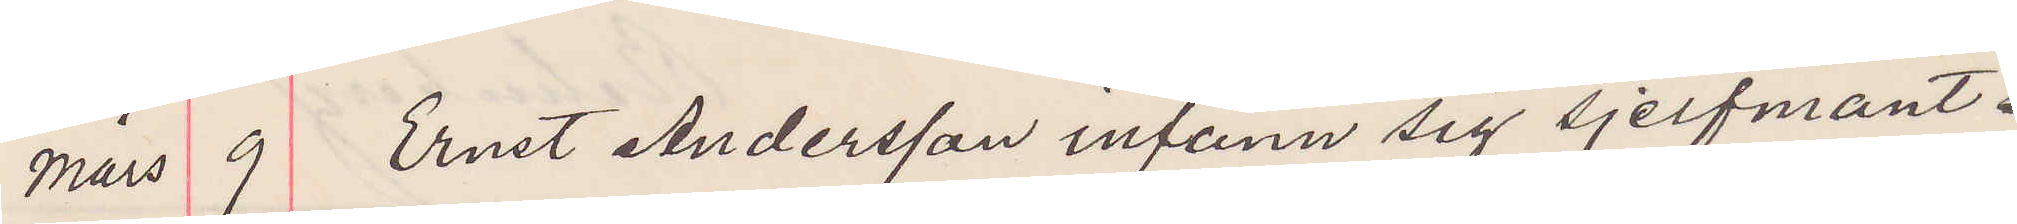mars 9 Ernst Andersson infann sig sjelfmant
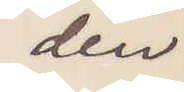den
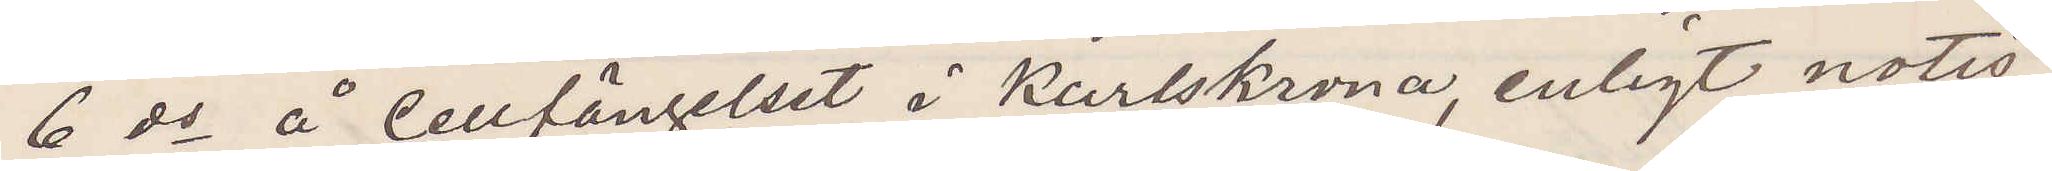6 ds å Cellfängelset å Karlskrona, enligt notis
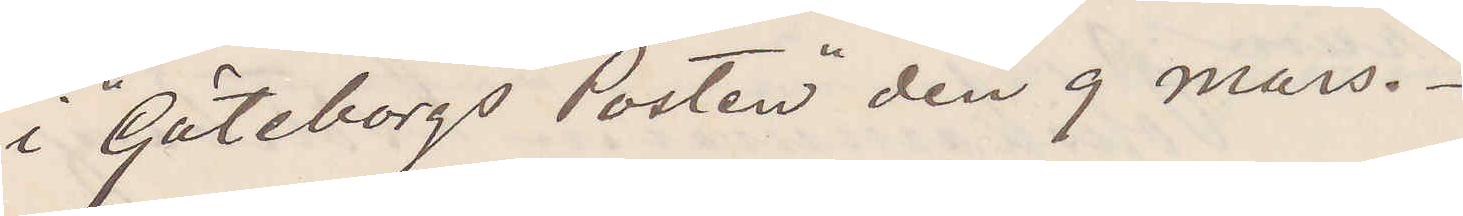i "Göteborgs Posten" den 9 mars.
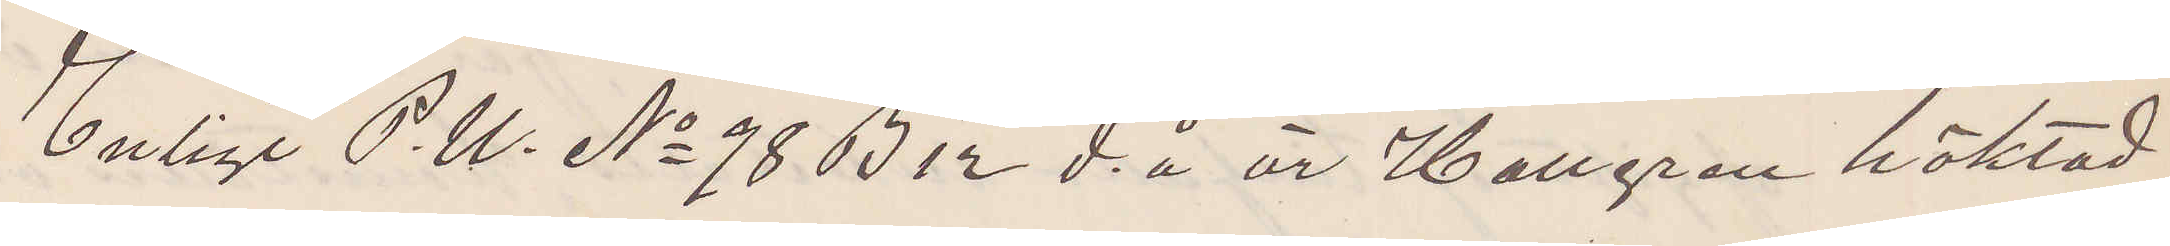Enligt P. U. No 98 B 12 d. å är Hallgren häktad
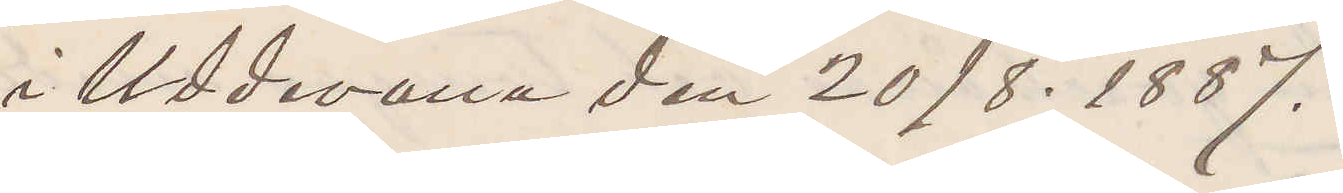i Uddevalla den 20/8. 1887.
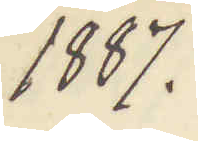1887.
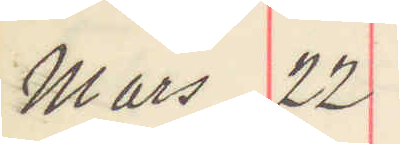Mars 22
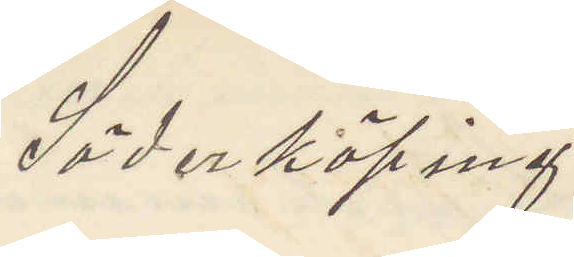Söderköping
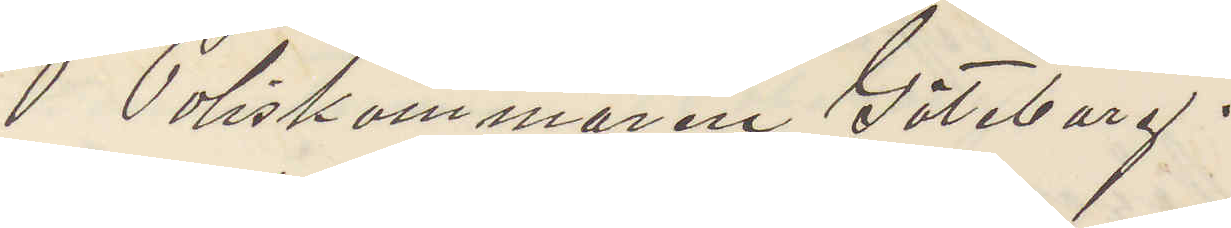 Poliskammaren Göteborg.
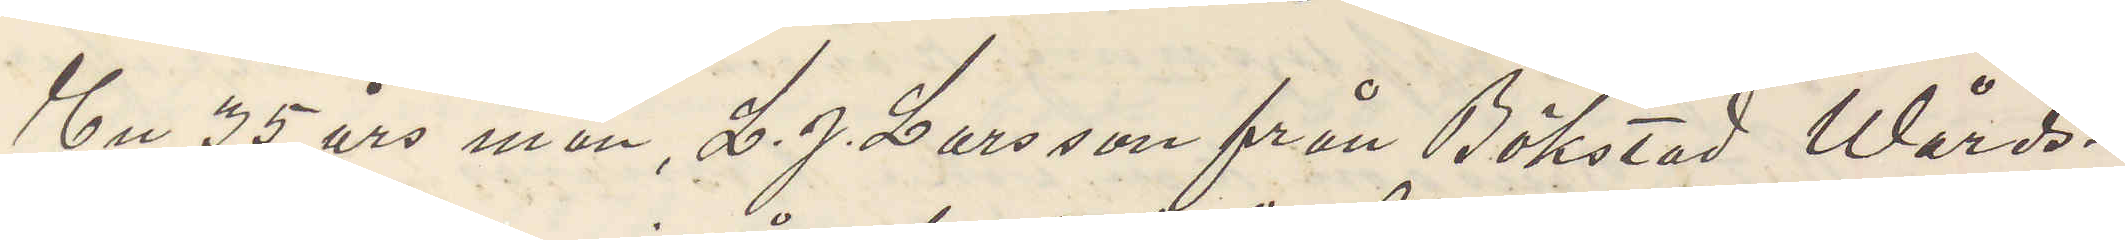En 35 års man, L. J. Larsson från Bökstad Wårds¬
